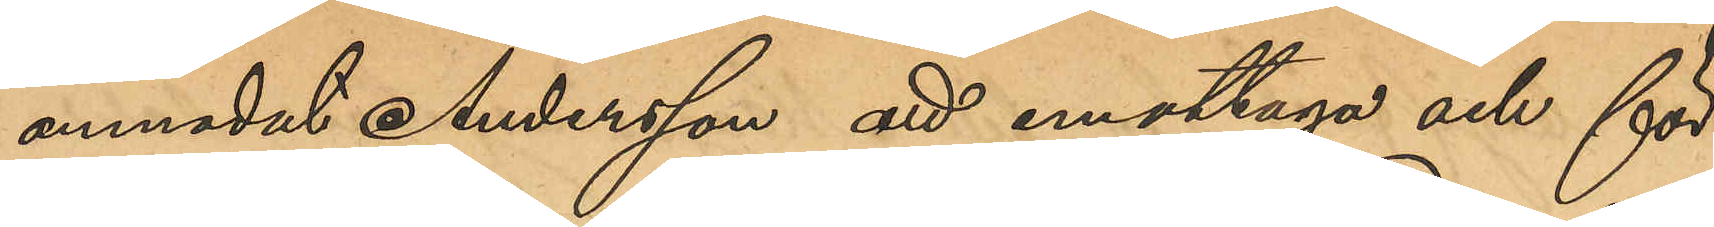anmodat Andersson att emottaga och för¬
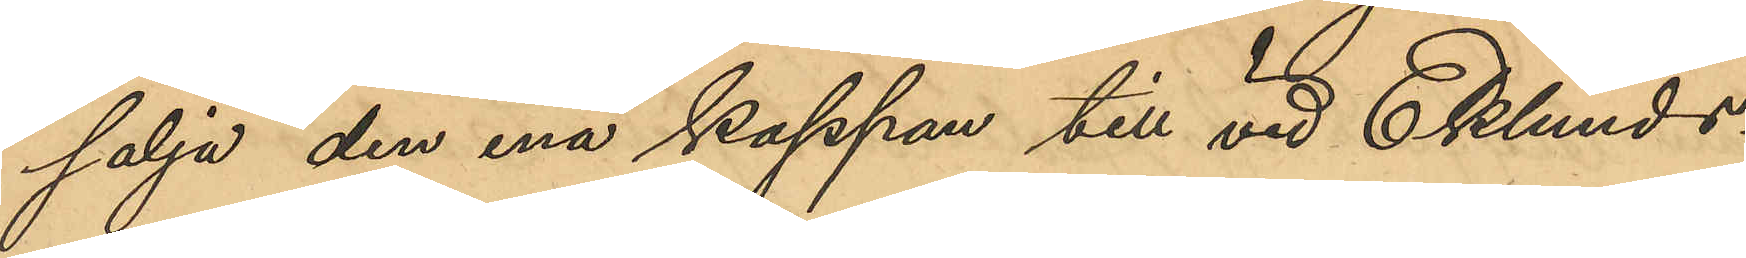sälja den ena kappan till vid Eklunds¬
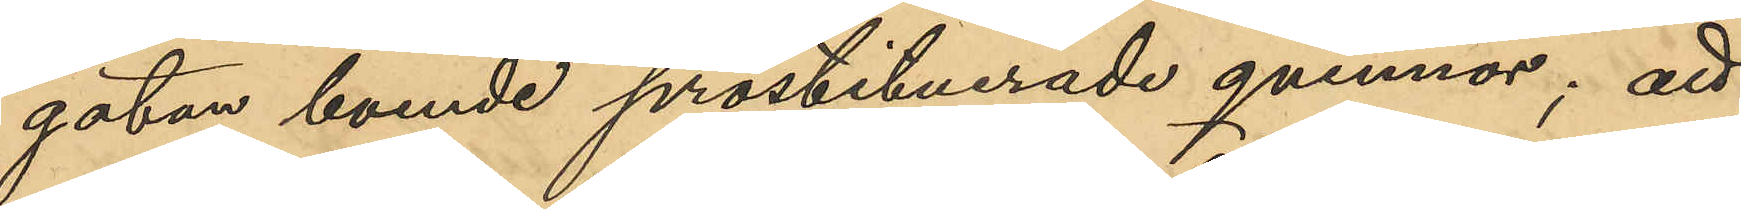gatan boende prostituterade qvinnor; att
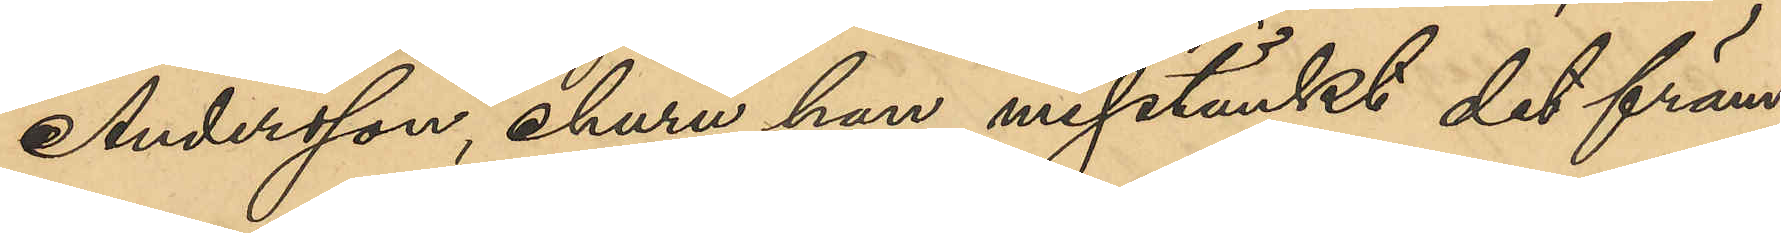Andersson, ehuru han misstänkt det främ¬
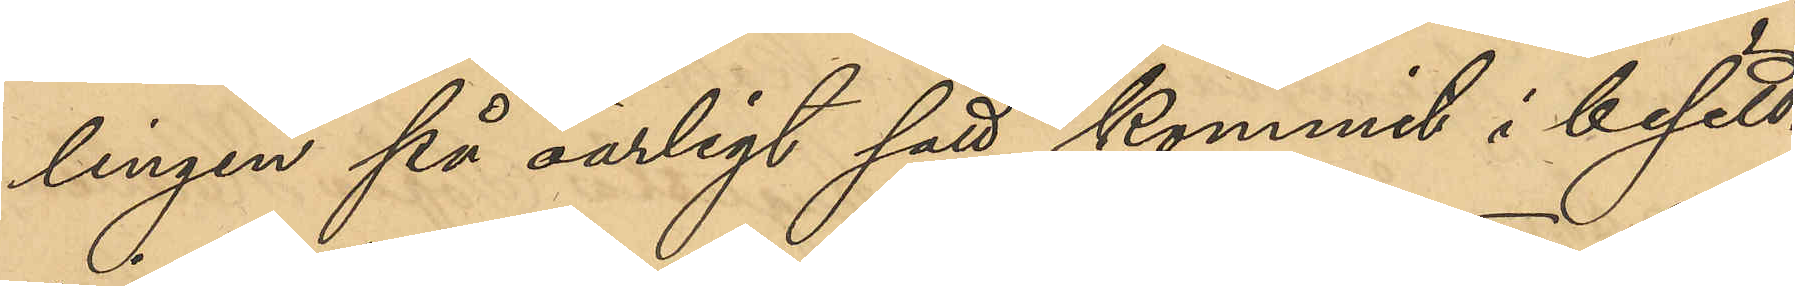lingen på oärligt sätt kommit i besitt¬
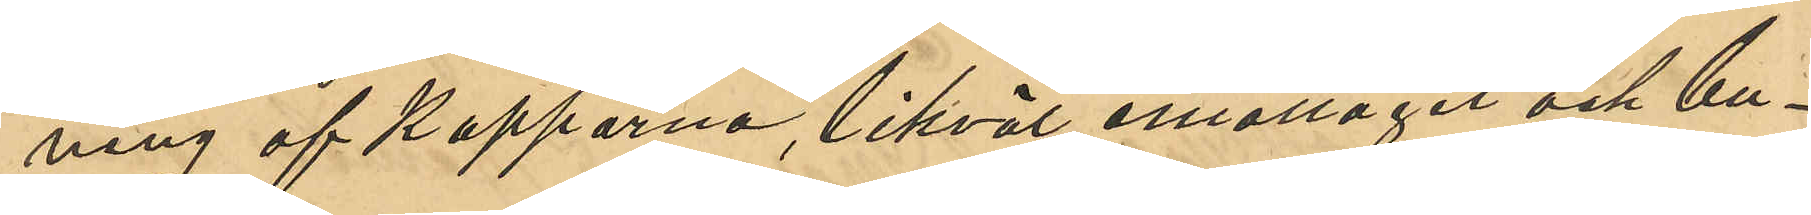ning af Kapporna, likväl emottagit och bu¬
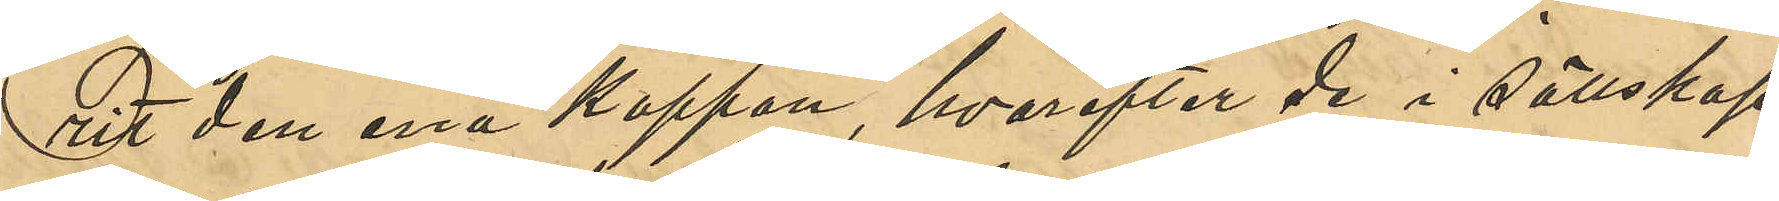rit den ena Kappan, hvarefter de i sällskap
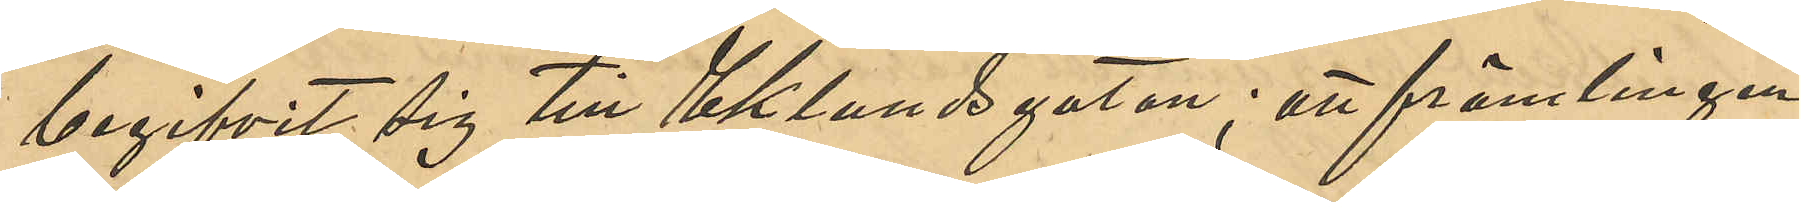begifvit sig till Eklundsgatan; att främlingen
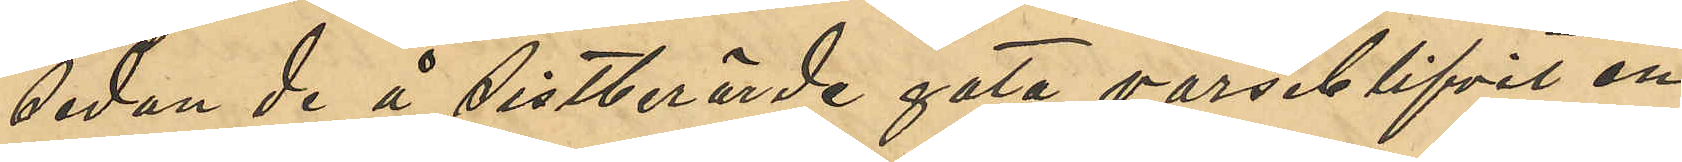sedan de å sistberörde gata varseblifvit en
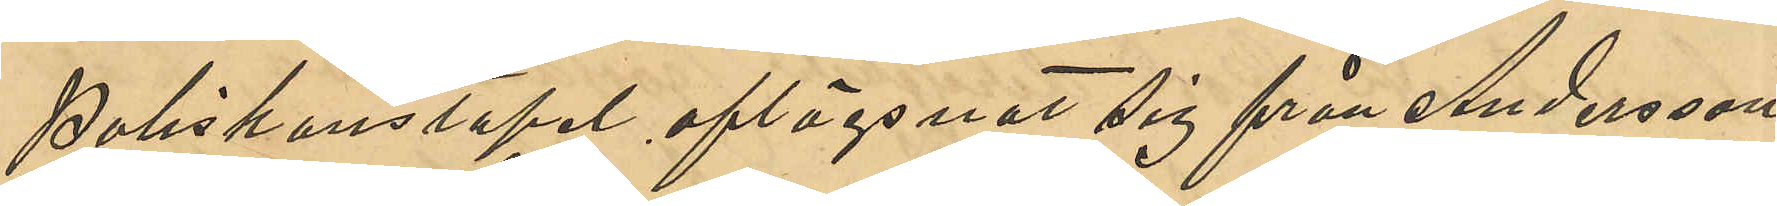Poliskonstapel aflägsnat sig från Andersson
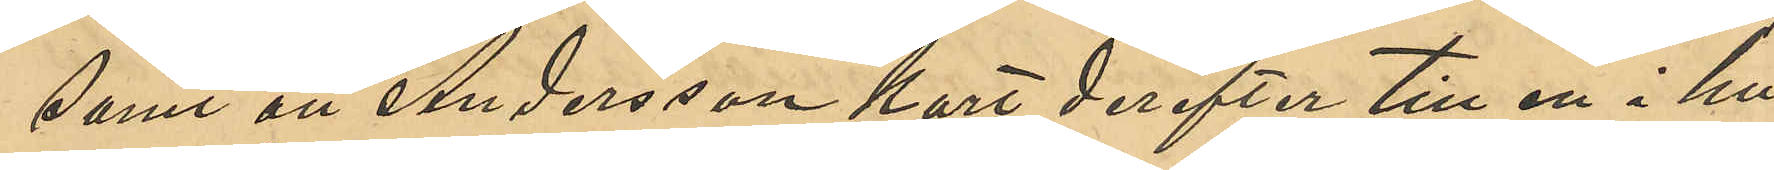samt att Andersson kort derefter till en i hu¬
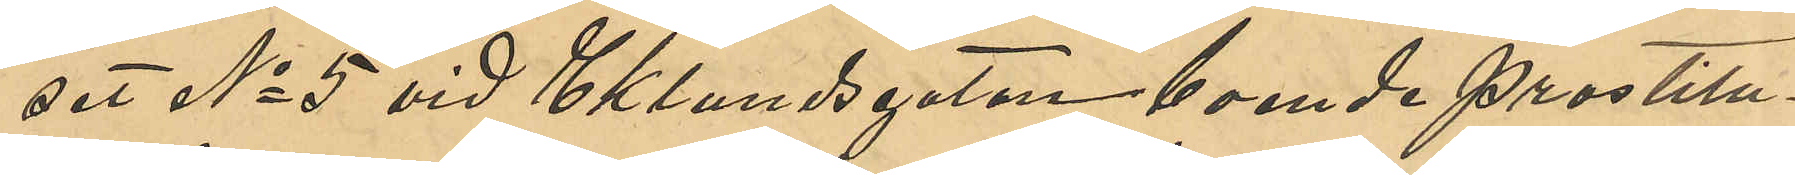set No 5 vid Eklundsgatan boende prostitu¬
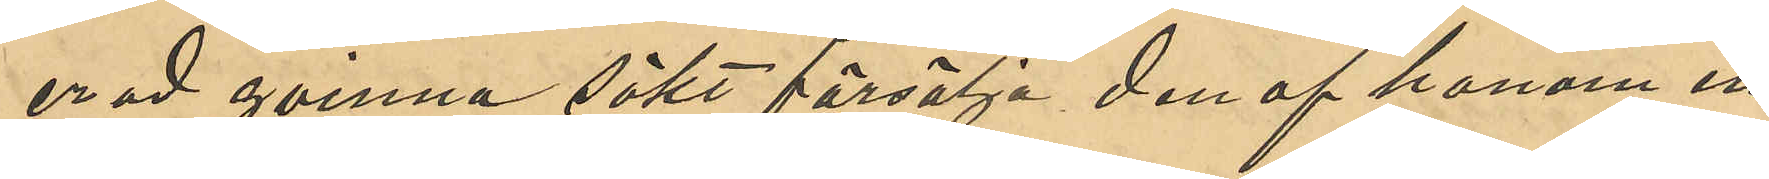erad qvinna sökt försälja den af honom in¬
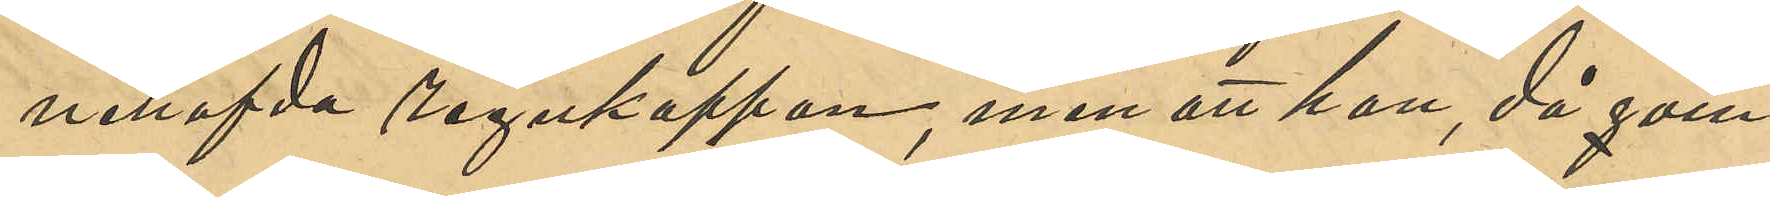nehafvda regnkappan, men att han, då qvin¬
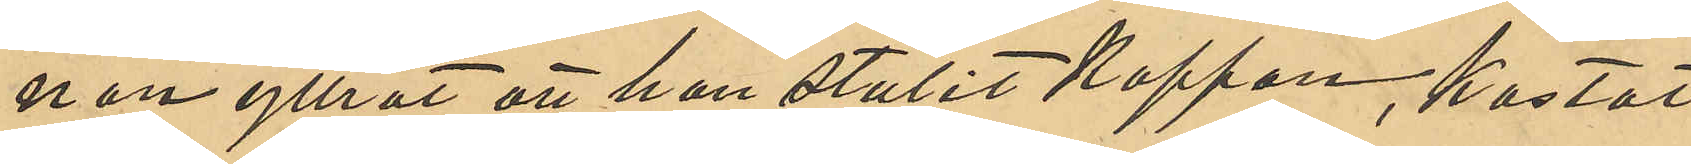nan yttrat att han stulit Kappan, kastat
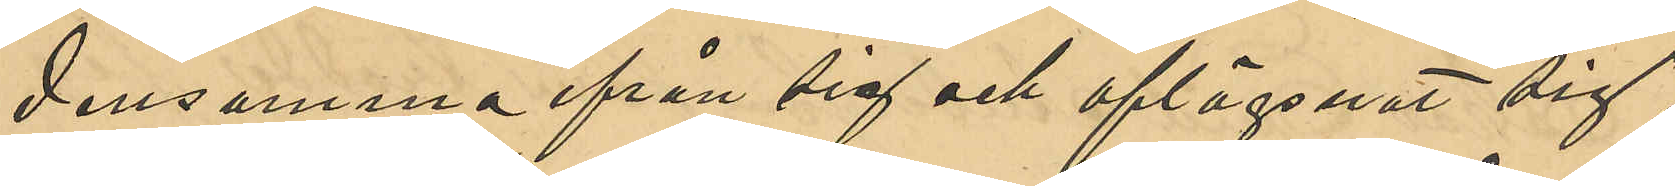densamma ifrån sig och aflägsnat sig;
